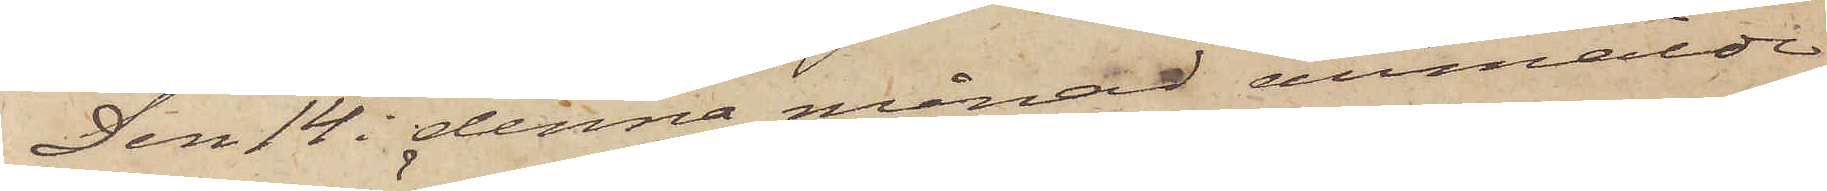Den 14 i denna månad anmälde
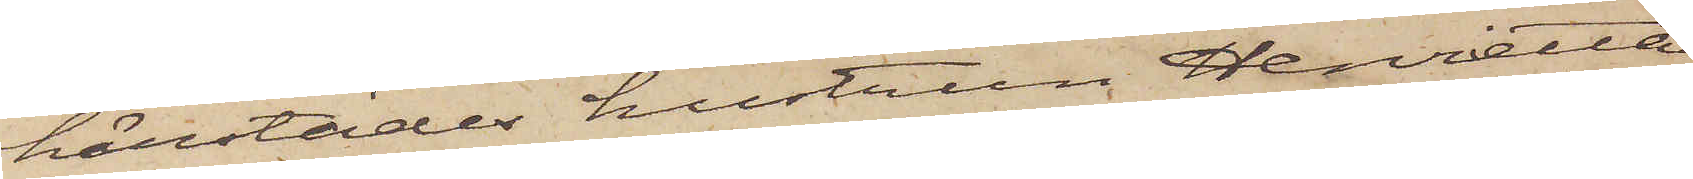härstädes hustrun Henrietta
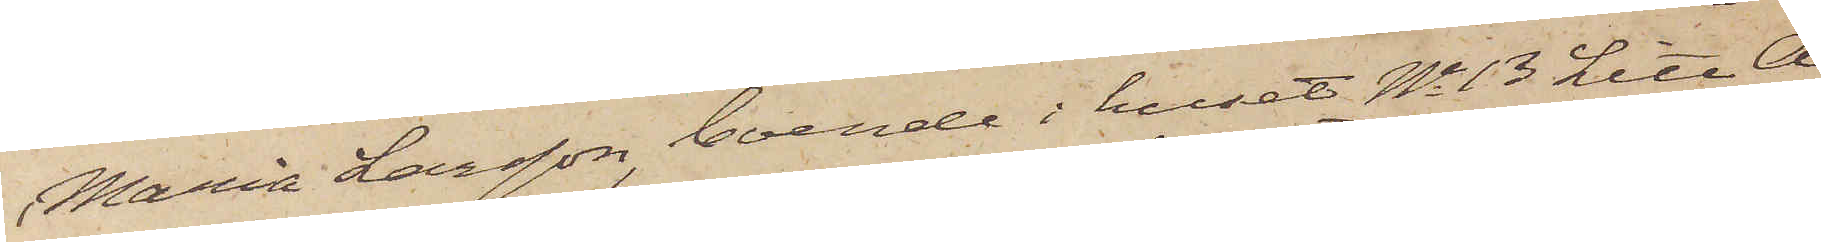Maria Larsson, boende i huset No 13 Litt A
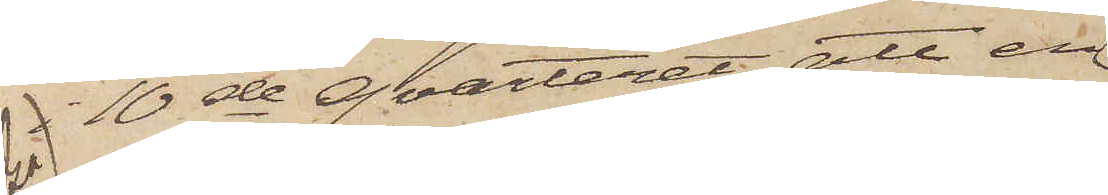i 10de qvarteret, att en
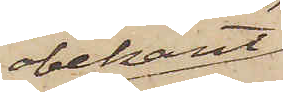obekant
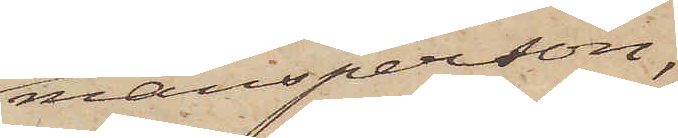mansperson,
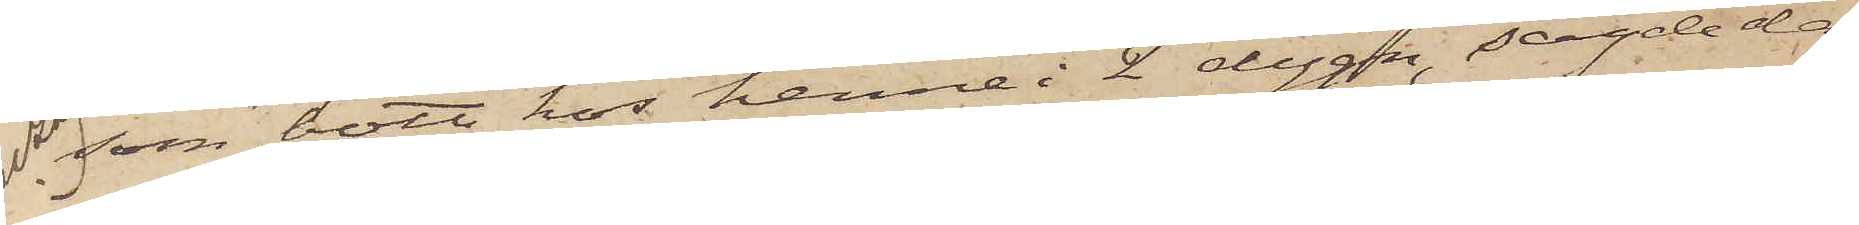som bott hos henne i 2 dygn, sagde dag
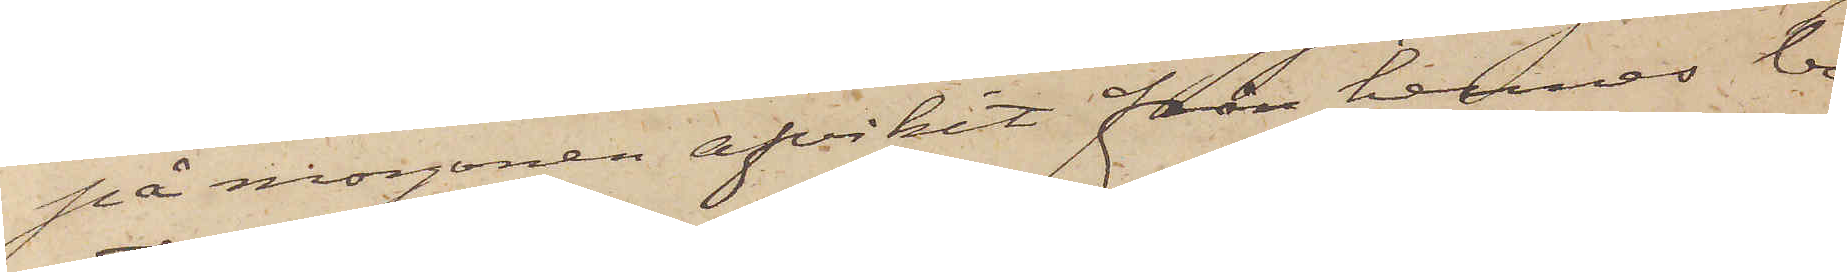på morgonen afvikit från hennes bo¬
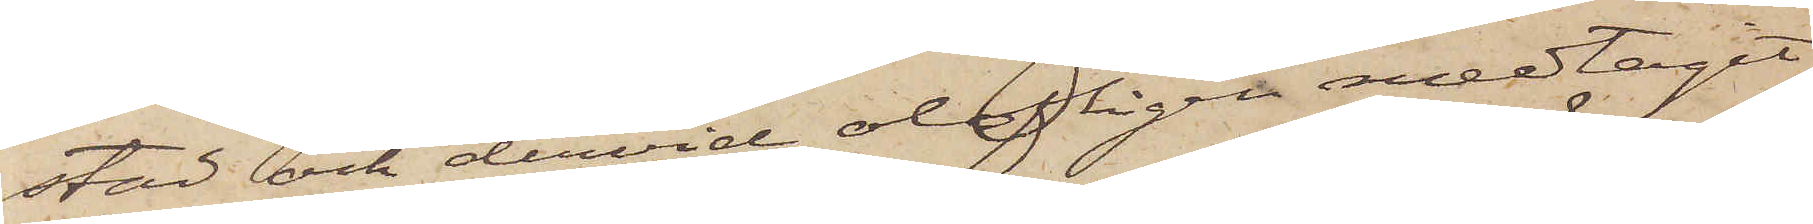stad och dervid olofligen medtagit
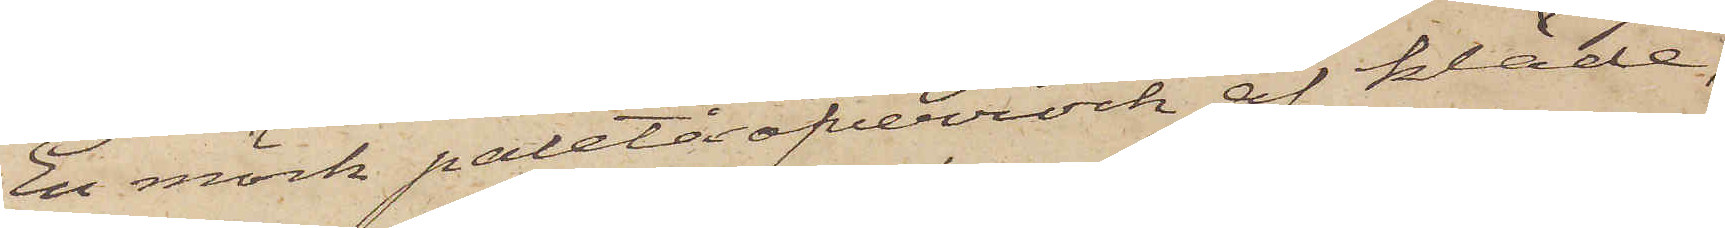En mörk paletåöfverrock af kläde,
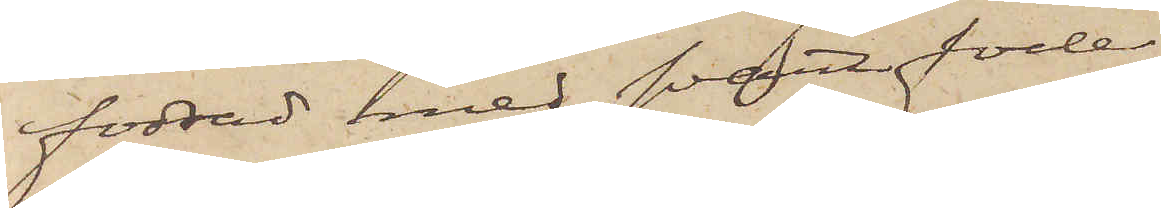fodrad med svart foder;
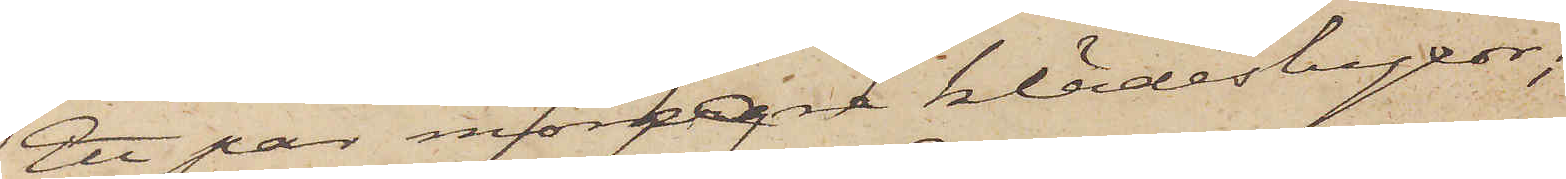Ett par mörkare klädesbyxor;
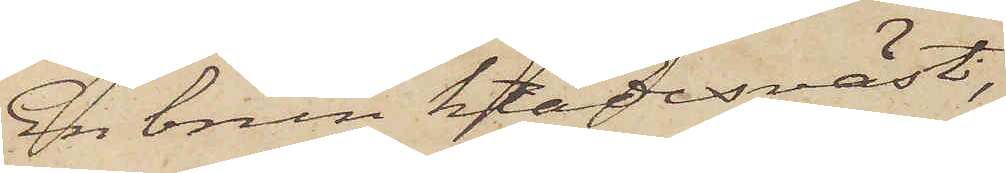En brun klädesväst,
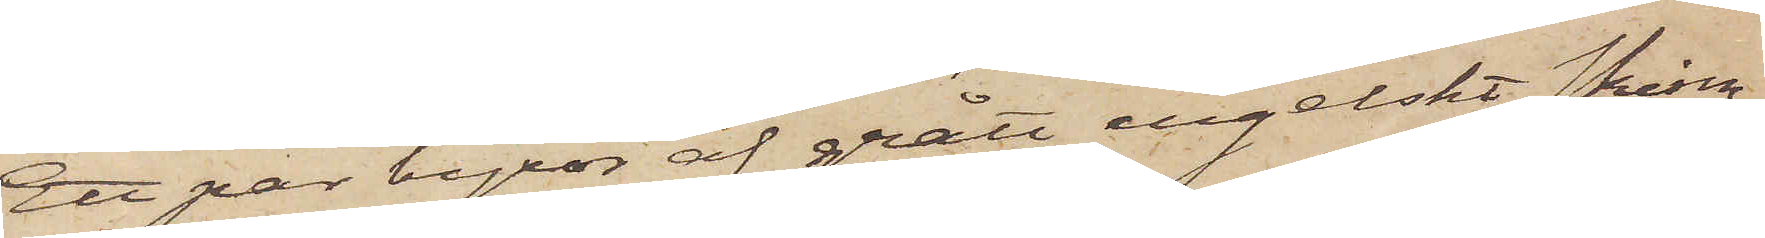Ett par byxor af grått engelskt skinn;
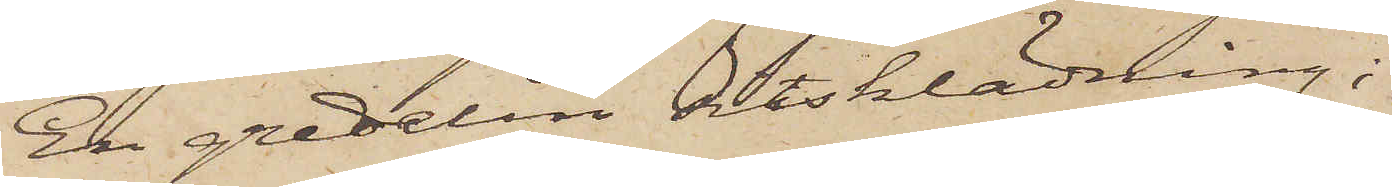En gredelin sitsklädning;
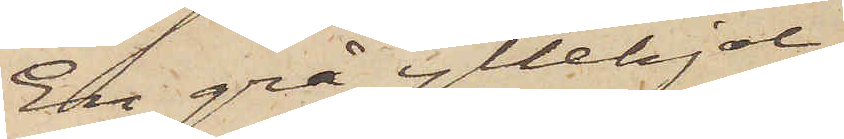En grå yllekjol;
